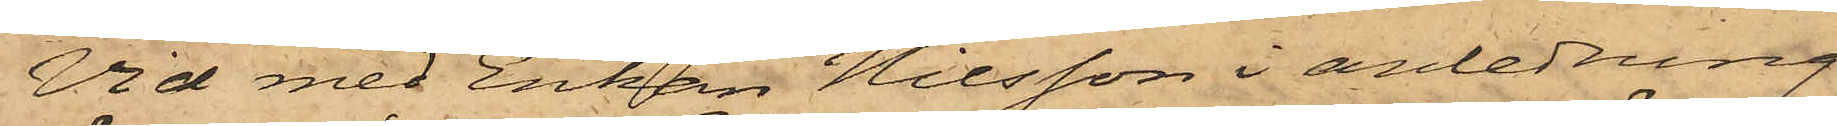Vid med Enkan Nilsson i anledning
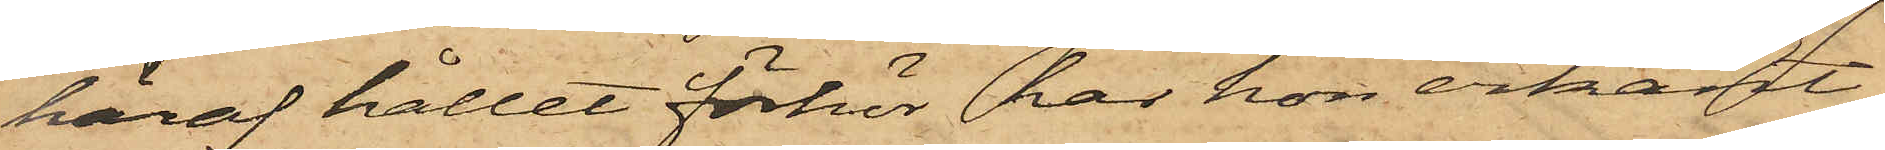häraf hållet förhör har hon erkänt,
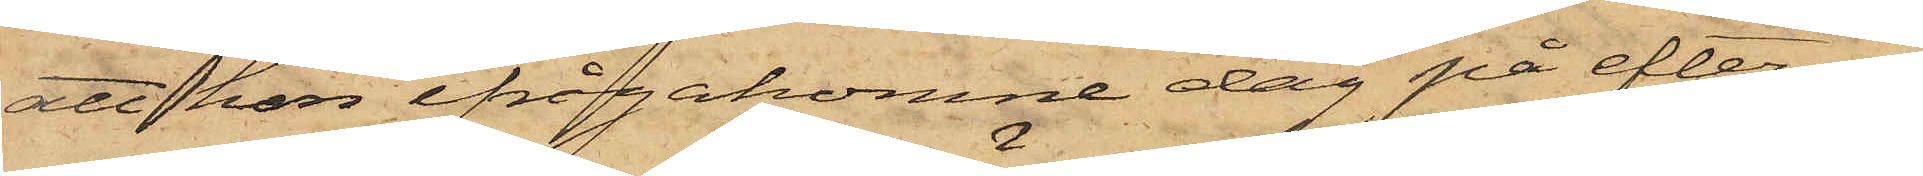att hon ifrågakomne dag på eftermi¬
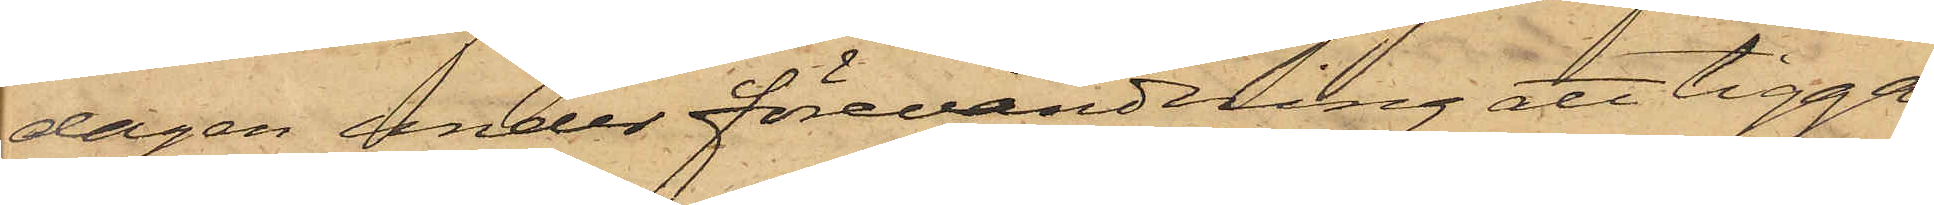dagen under förevändning att tigga
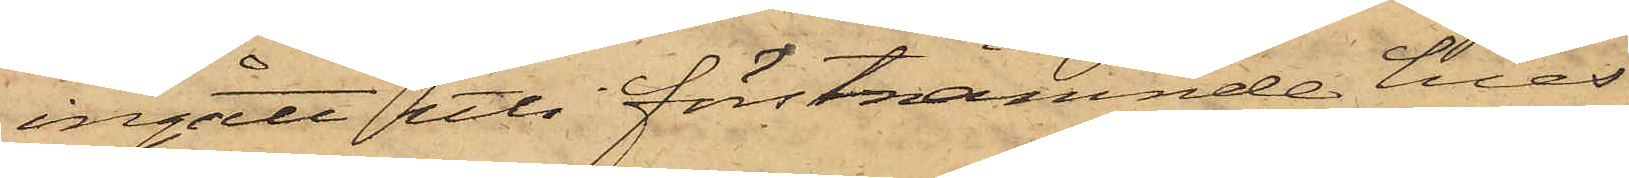ingått uti förstnämnde hus
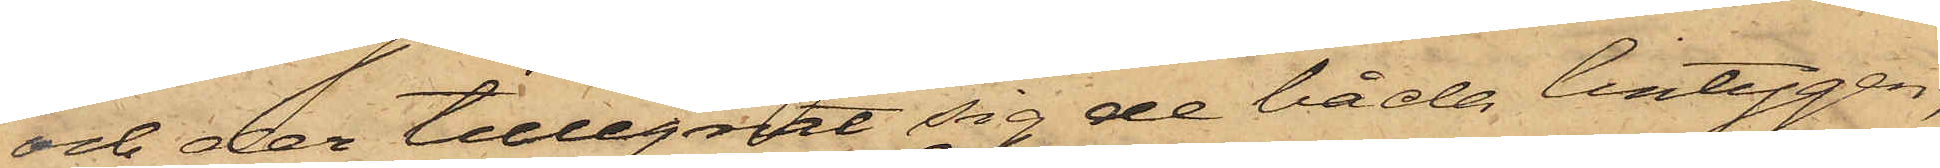och der tillegnat sig de båda lintygen,
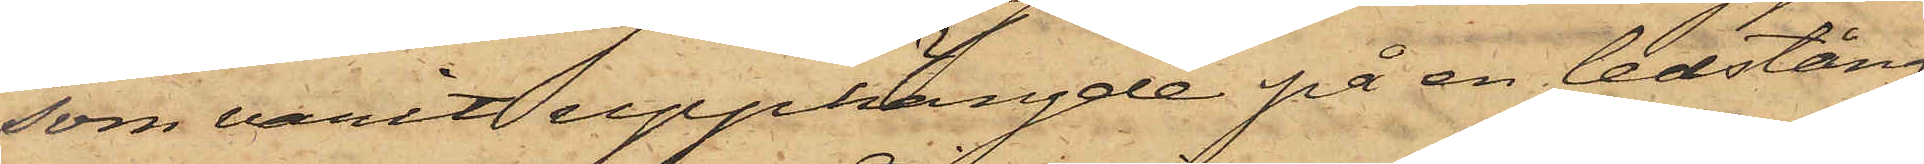som varit upphängde på en ledstång
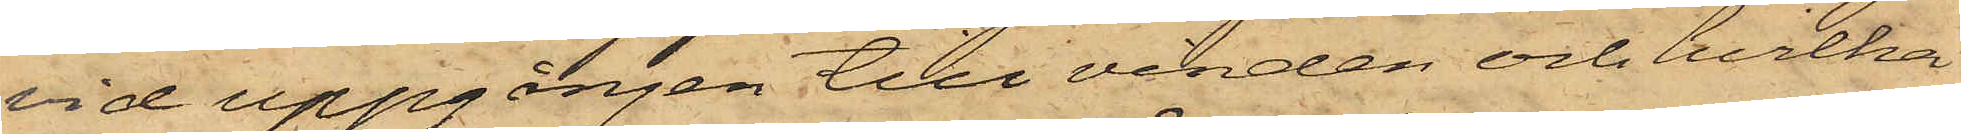vid uppgången till vinden och hvilka
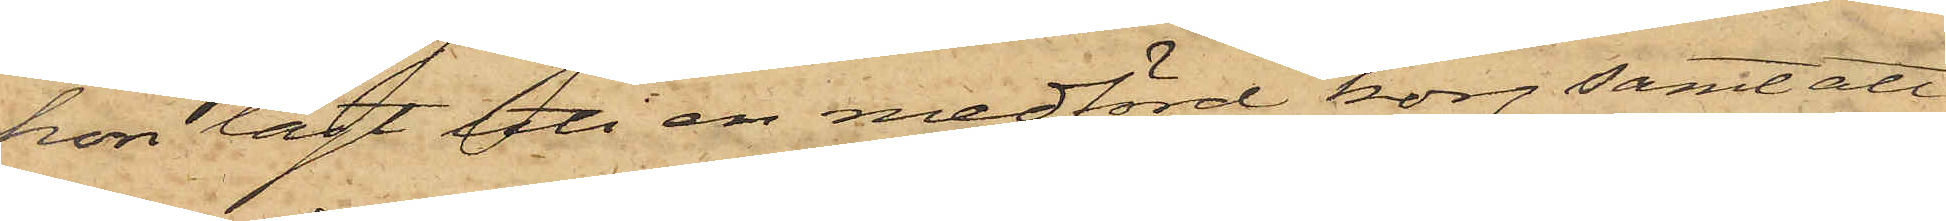hon lagt uti en medförd korg samt att
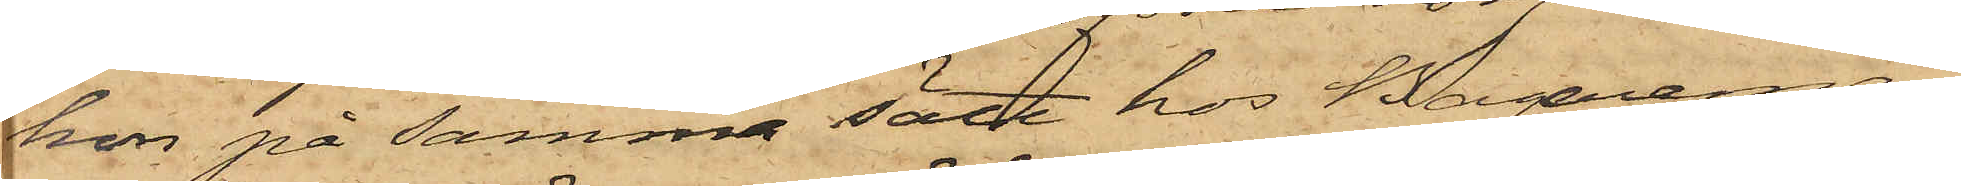hon på samma sätt hos Bagaremä¬
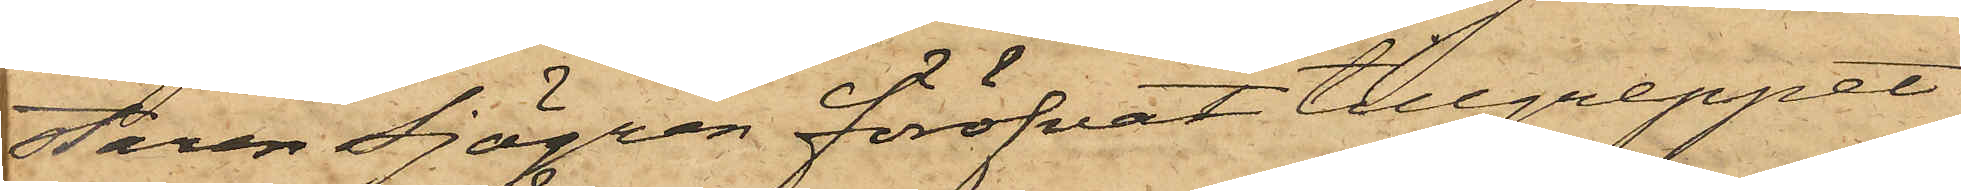staren Sjögren föröfvat tillgreppet
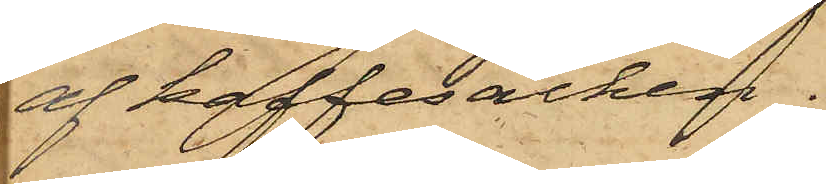af kaffesäcken.
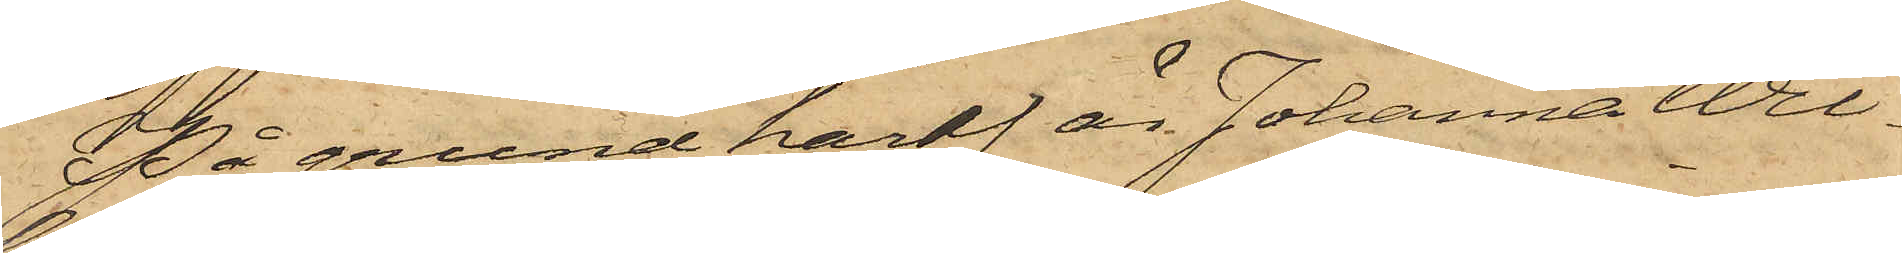På grund häraf är Johanna Wil¬
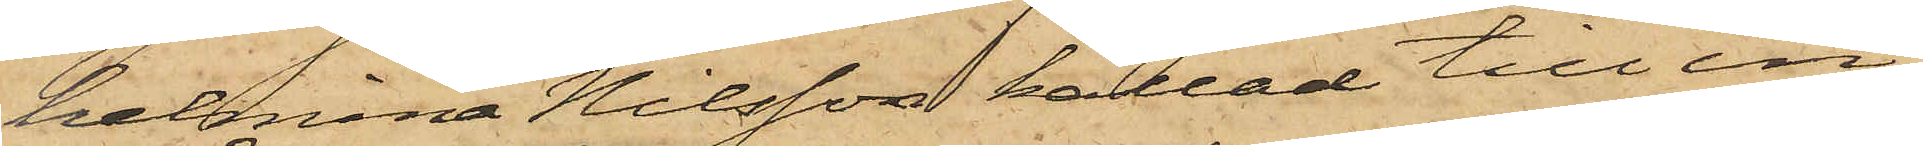helmina Nilsson kallad till in¬
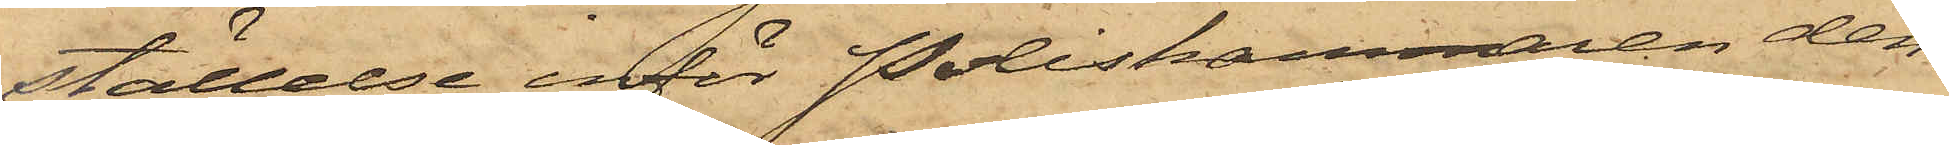ställelse inför Poliskammaren den¬
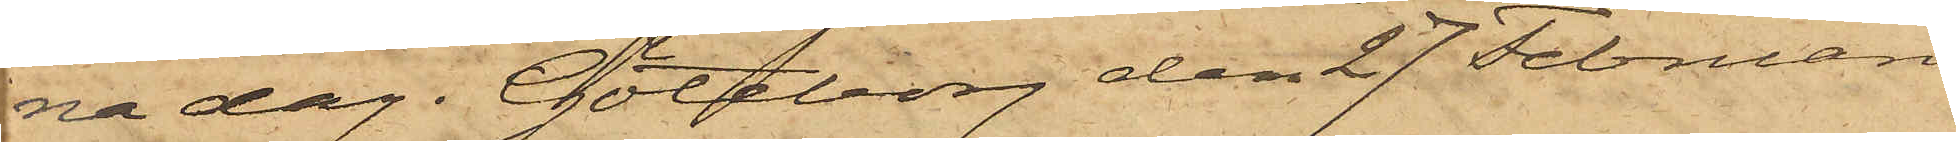na dag. Göteborg den 27 Februari
